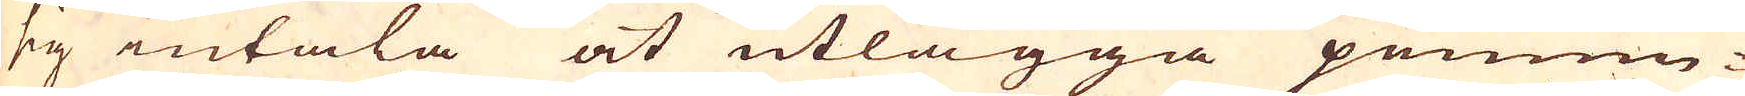sig intala at utlägga pennin-
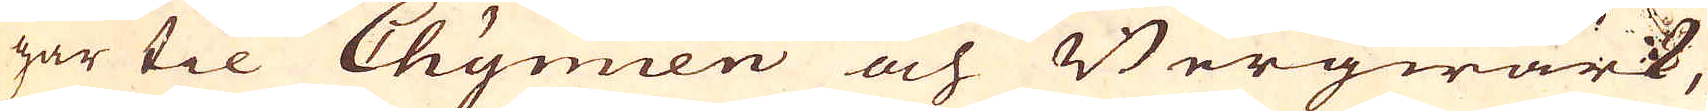gar til Chymien och Bergwärk,
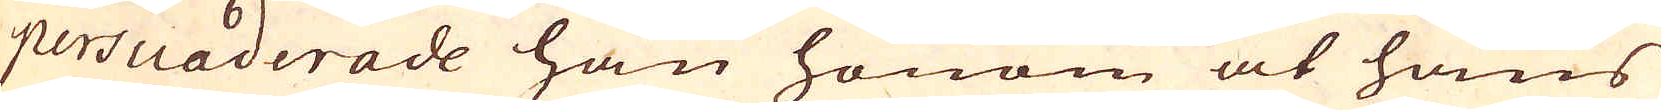persuaderade han honom at hans
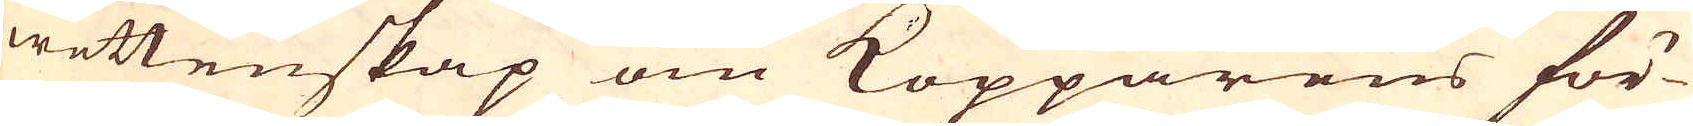wettenskap om Kopparens för-
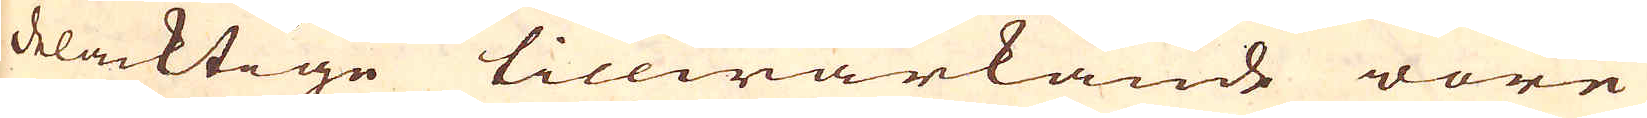delacktige tillwärkande wore
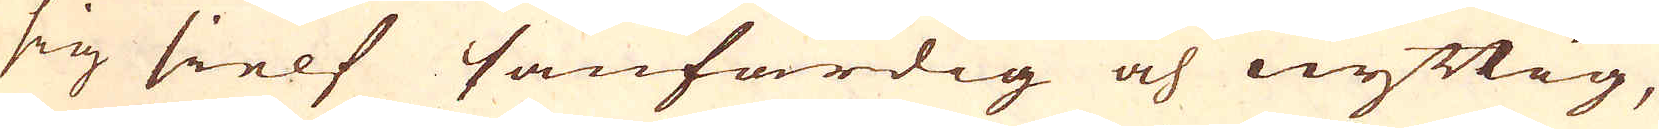sig sielf sanfärdig och nyttig,
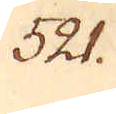521.
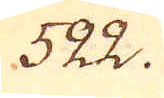522.
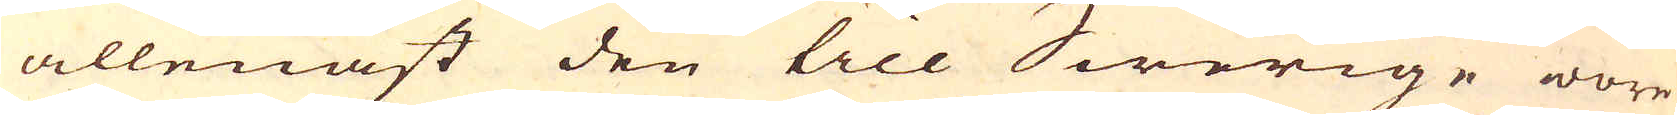allenast den till Swerige wore
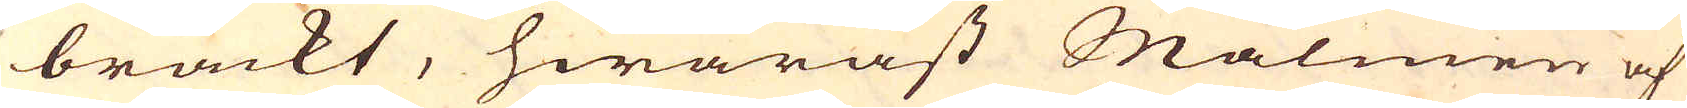brackt, hwaräst Malmen af
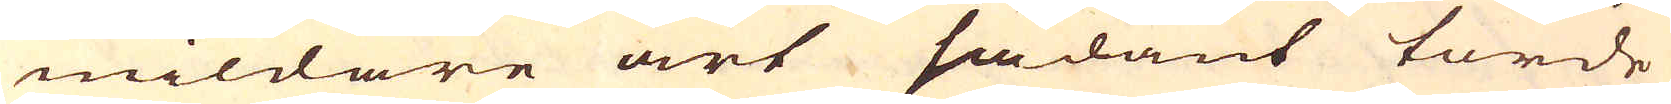mildare art sådant torde
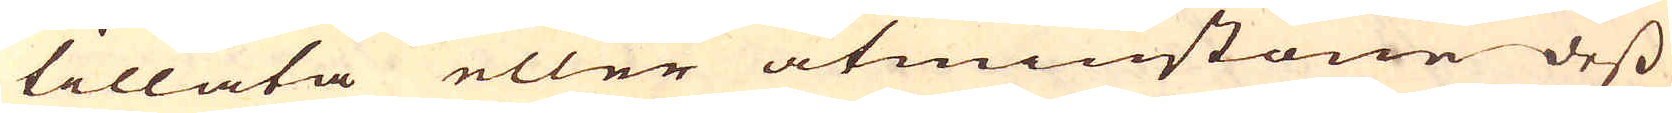tillåta eller åtminstone dess
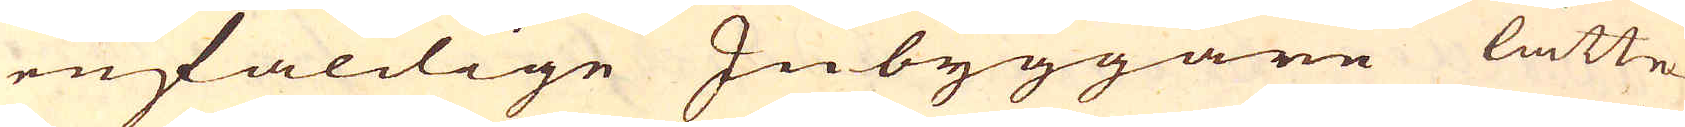enfaldige Inbyggare lätte-
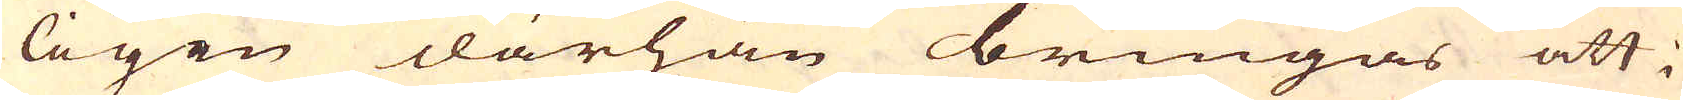ligen därhän bringas att i
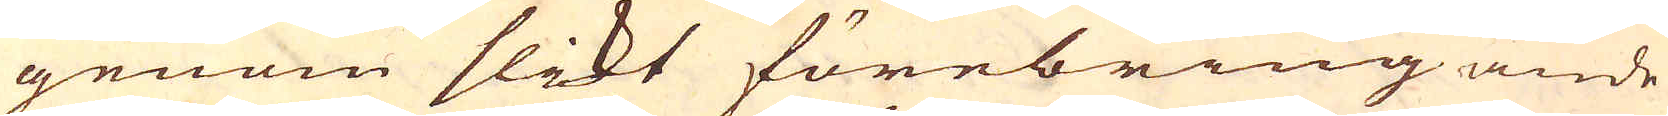genom slikt förebringande
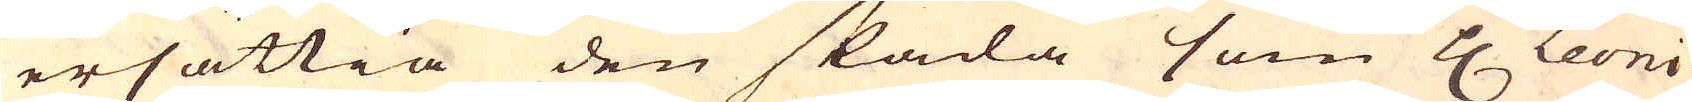ersättia den skada som H Leoni
